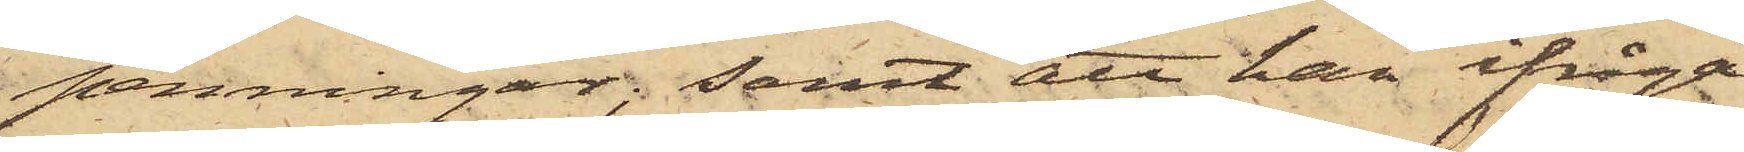penningar; samt att han ifråga¬
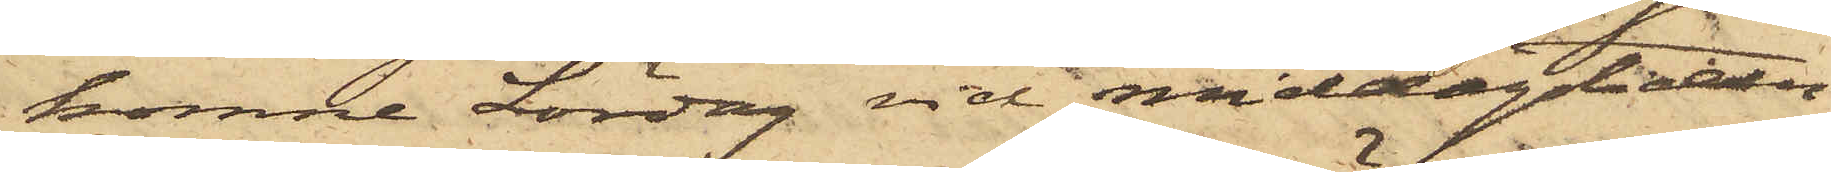komne Lördag vid middagstiden
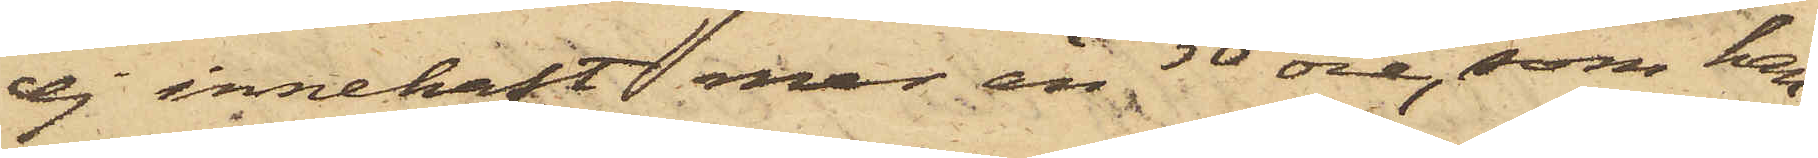ej innehaft mer än 50 öre, som han
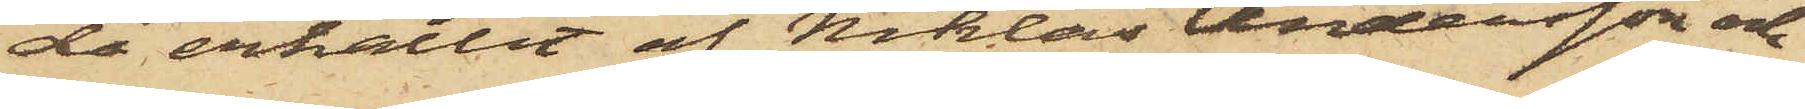då erhållit af Niklas Andersson och
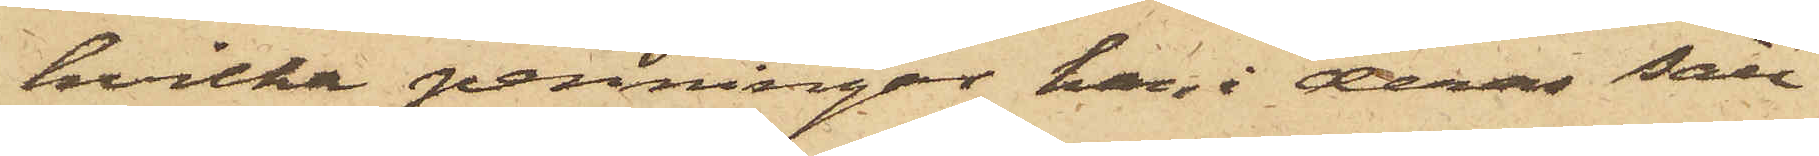hvilka penningar han i deras säll¬
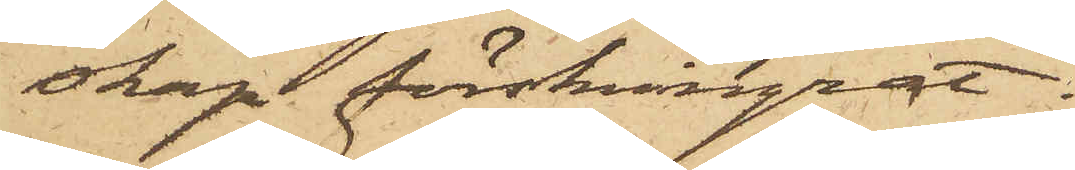skap förskingrat.
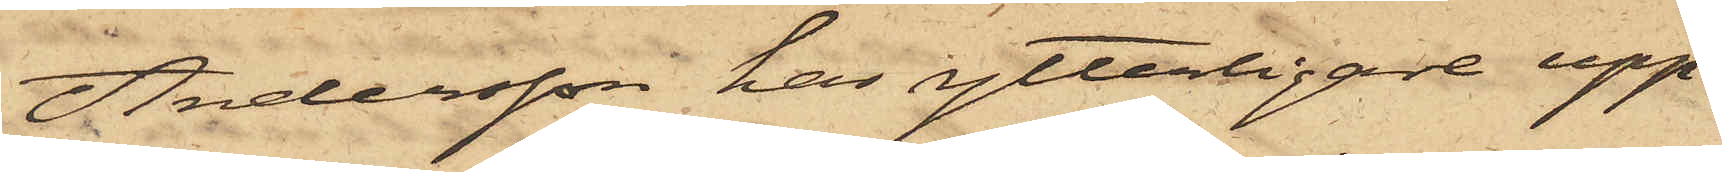Andersson har ytterligare upp¬
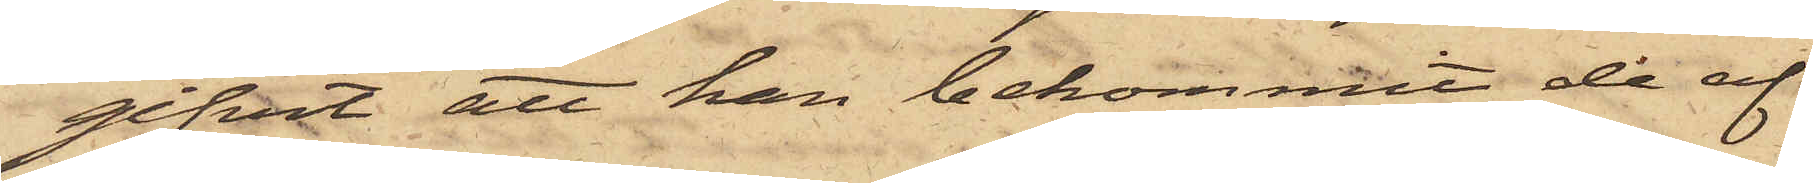gifvit att han bekommit de af
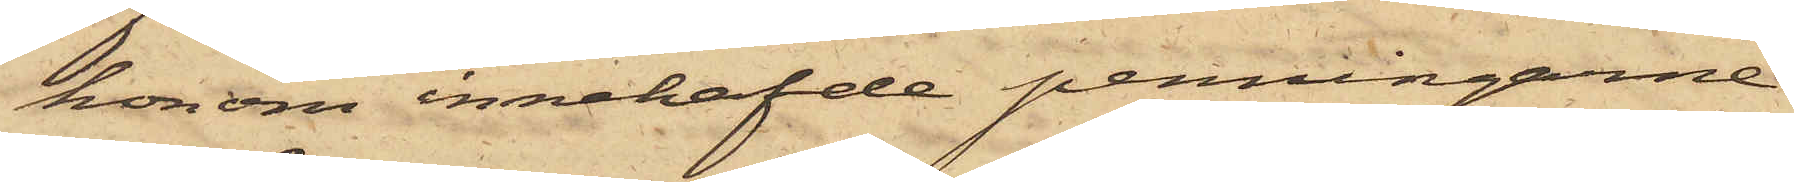honom innehafde penningarne
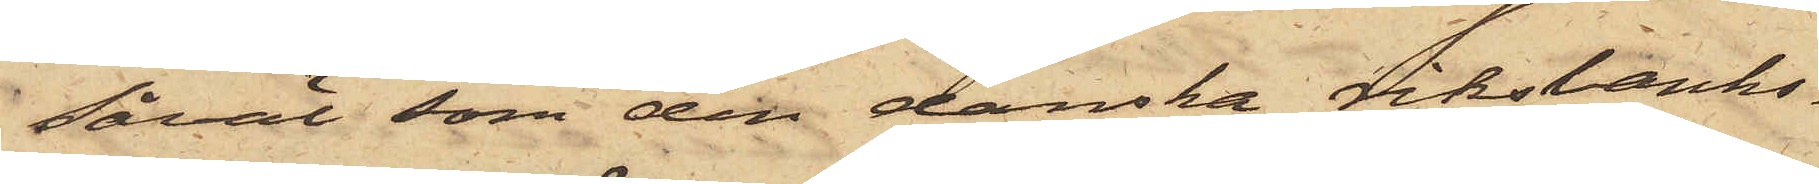såväl som den danska riksbanks¬
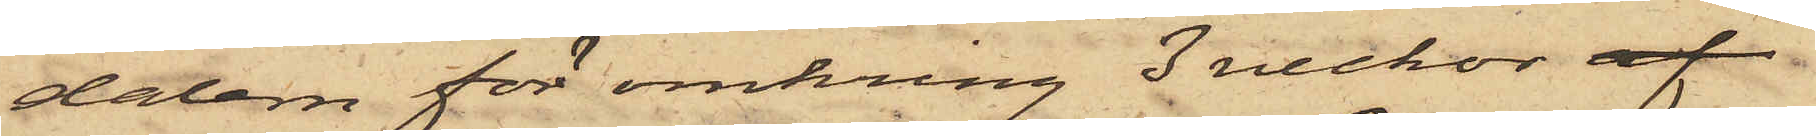dalern för omkring 3 veckor af
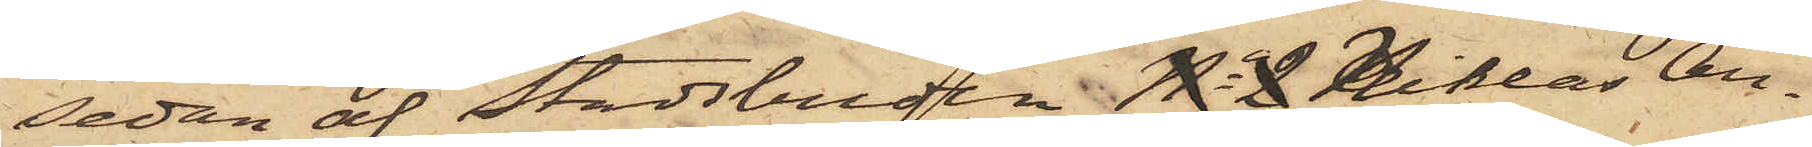sedan af Stadsbuden No 2 Niklas An¬
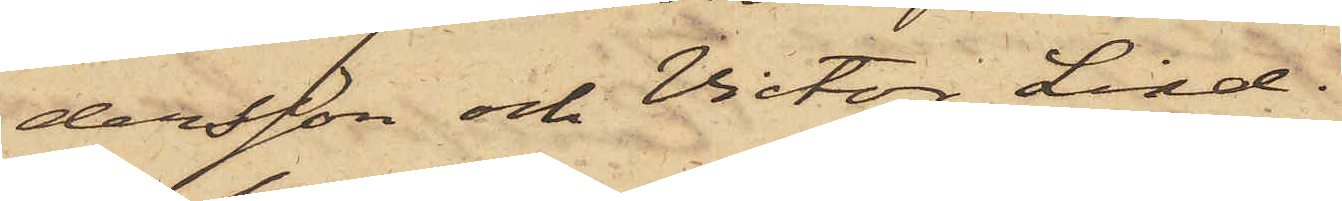dersson och Victor Lind.
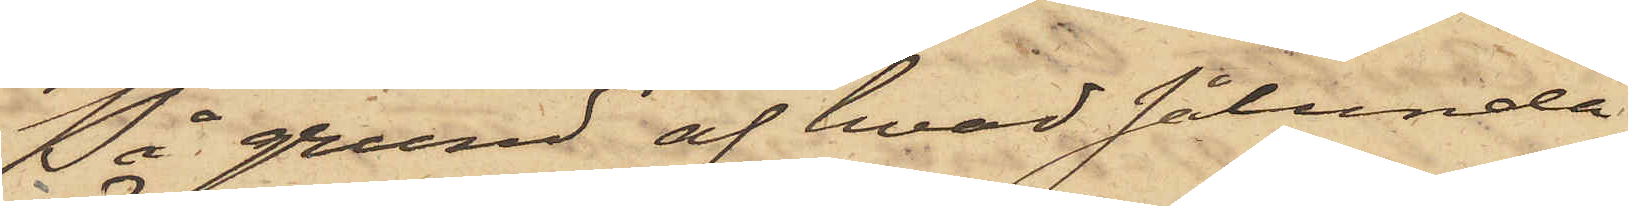På grund af hvad sålunda
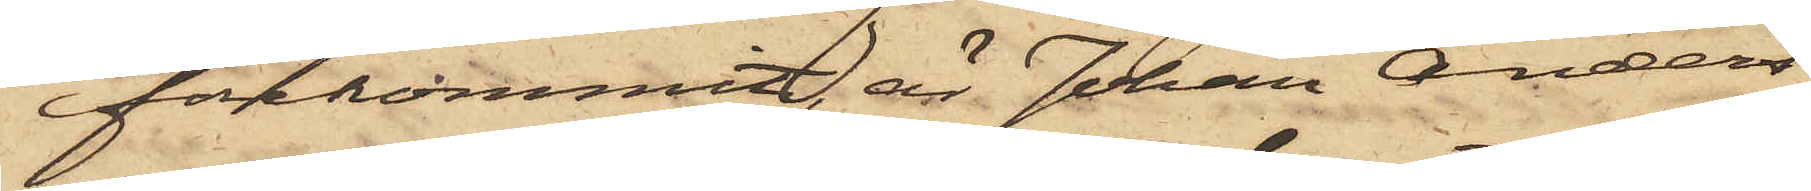förekommit, är Johan Anders¬
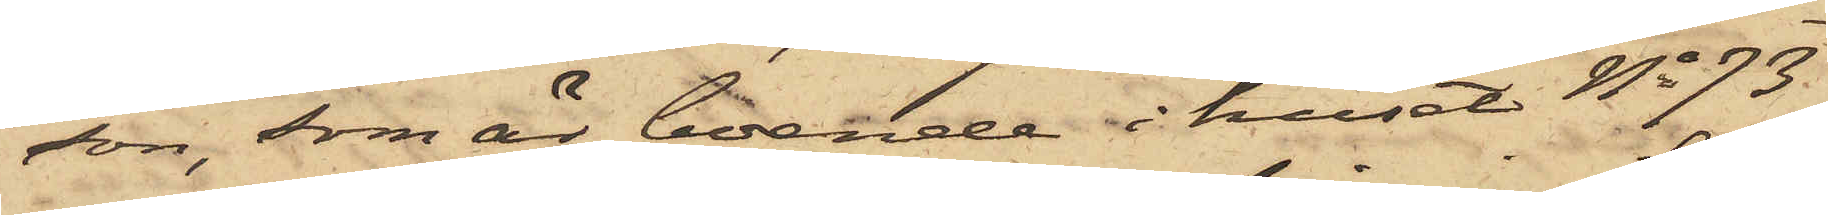son, som är boende i huset No 73
